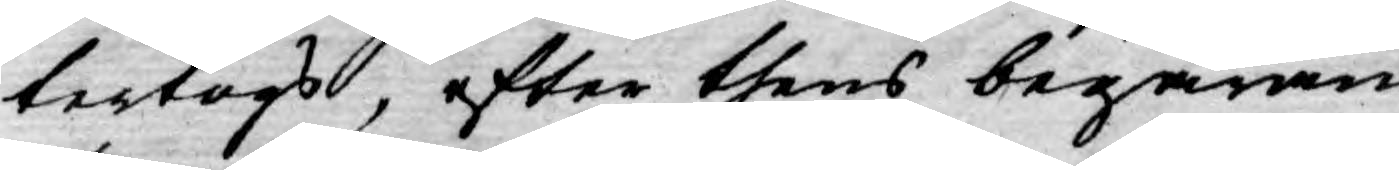tertogs, efter thens begäran
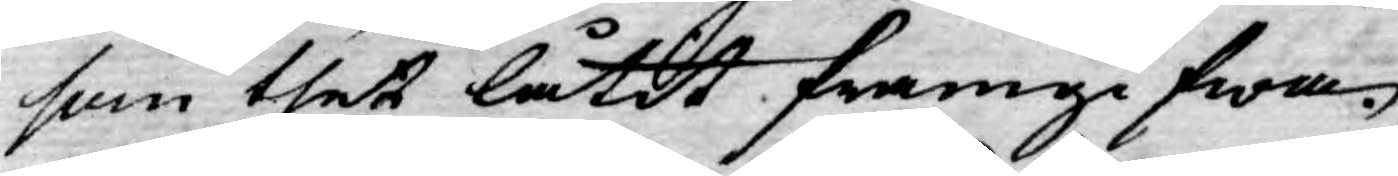som thet låtit framgifwa.
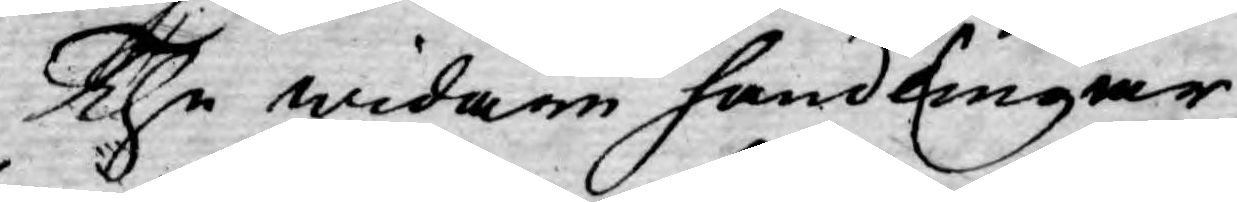The widare handlingar
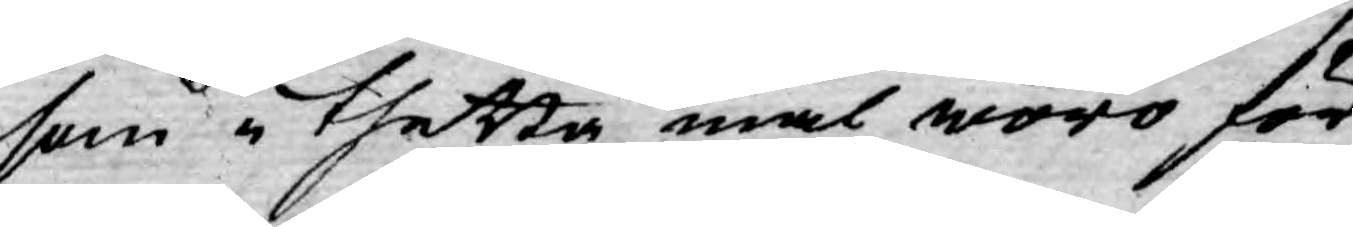som i thetta mål woro för
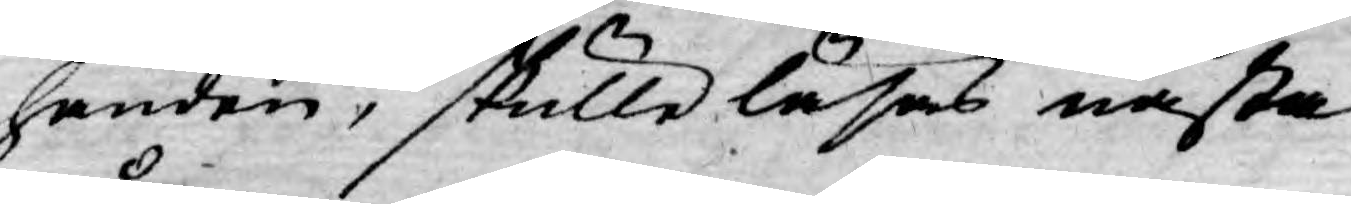handen, skulle läsas nästa
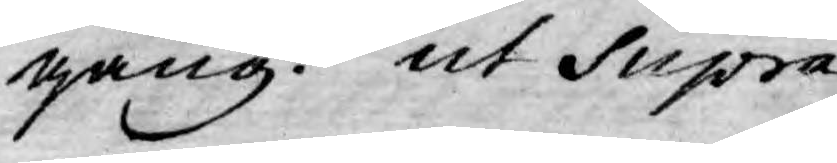gång. ut Supra.
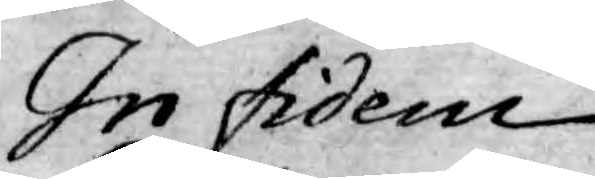In fidem
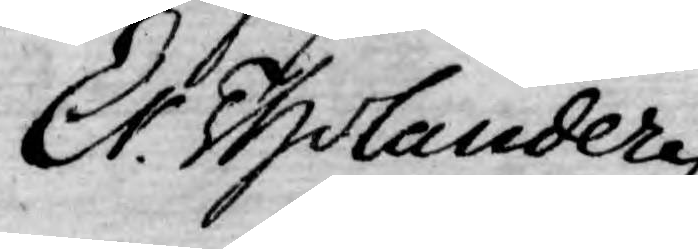Er. Tholander
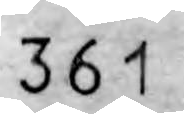361
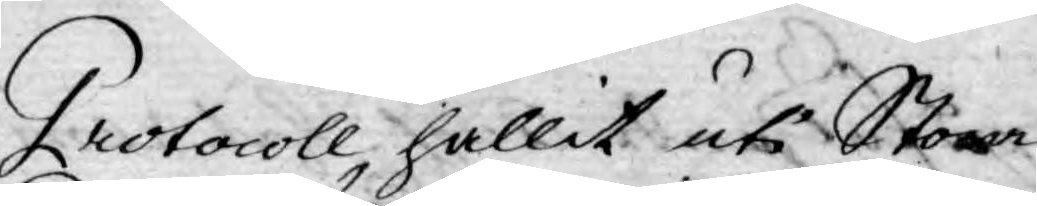Protocoll, hållit uti Stora
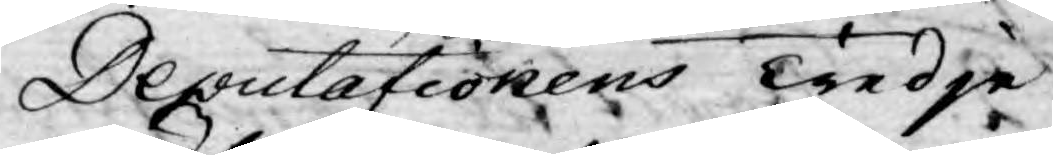Deputationens Tredje
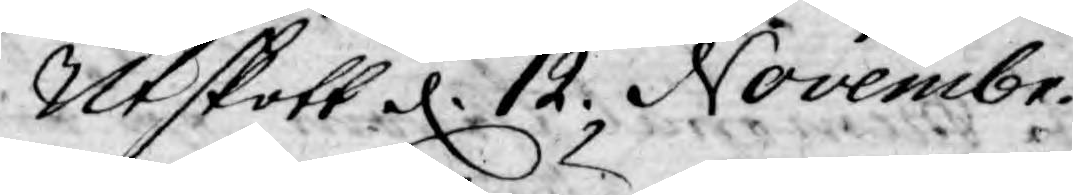Utskott d. 12 Novembr.
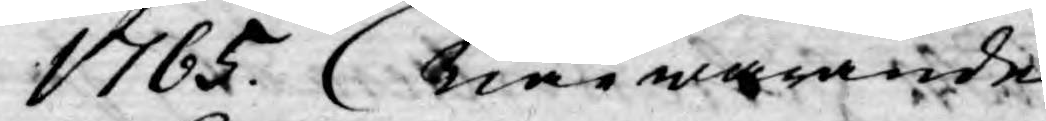1765. Närwarande
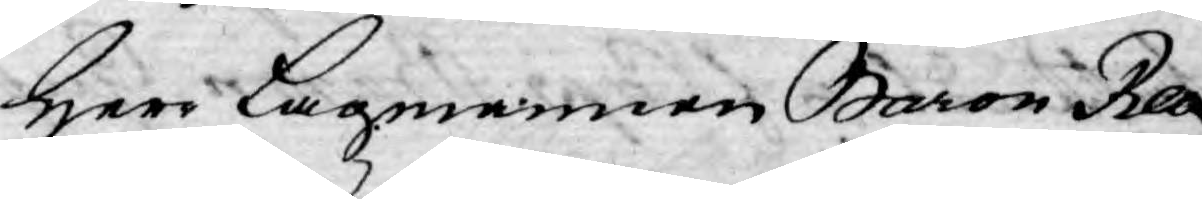Herr Lagmannen Baron Reu¬
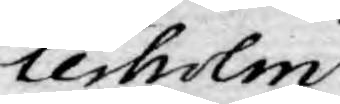rerholm
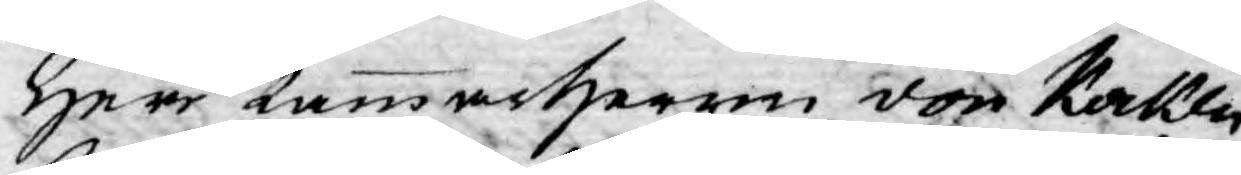Herr Kammarherren von Kocken
